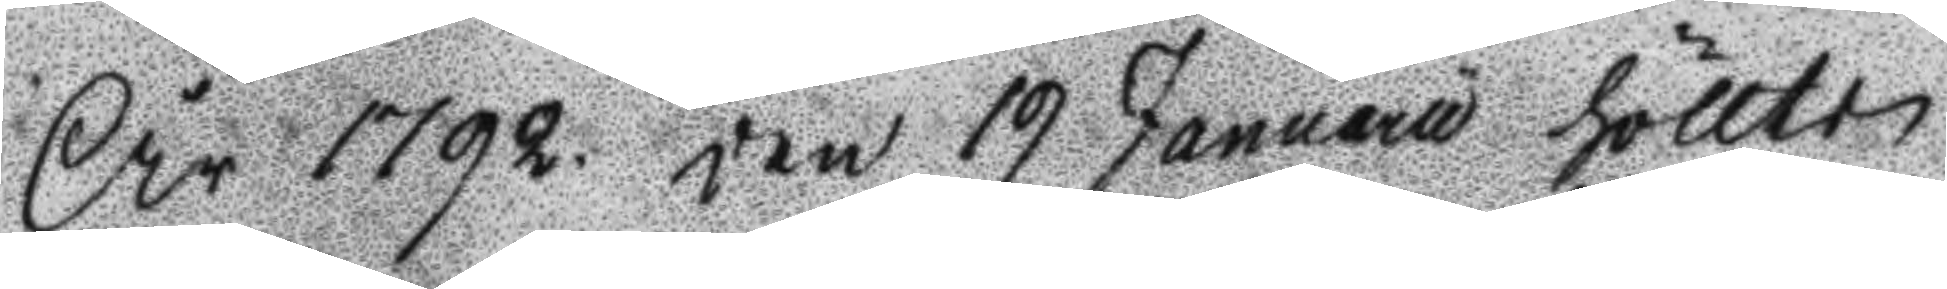År 1792. den 19 Januarii höllts
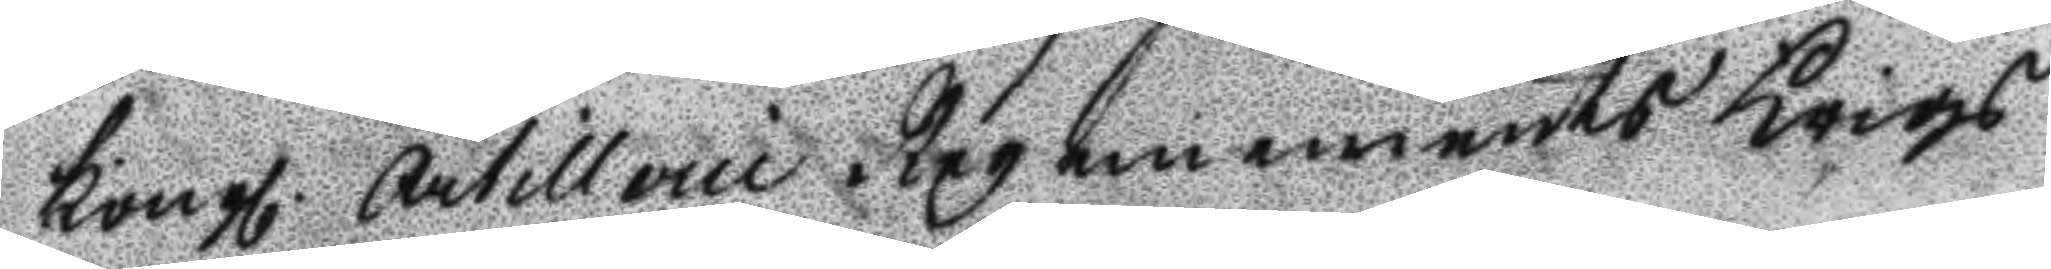Kongl. Artillerie Regements Krigs
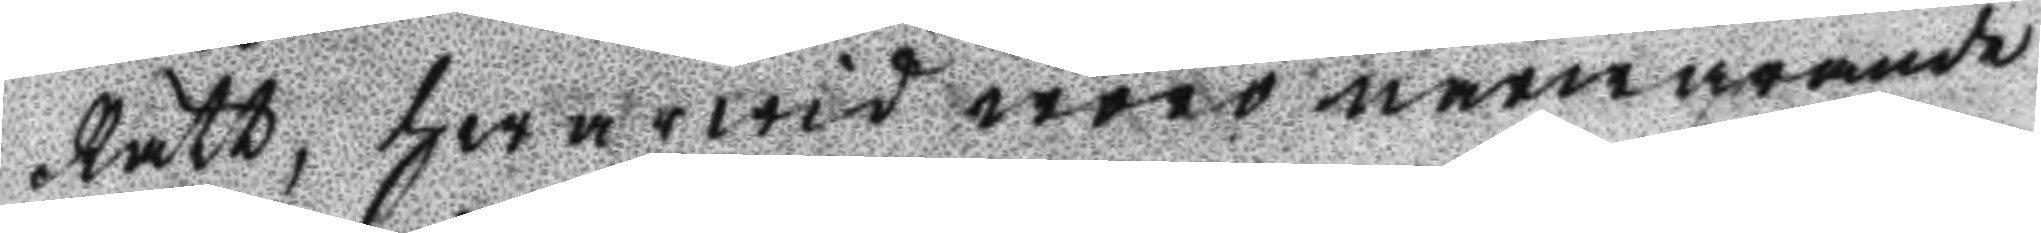Rätt, hwarwid woro närwarande
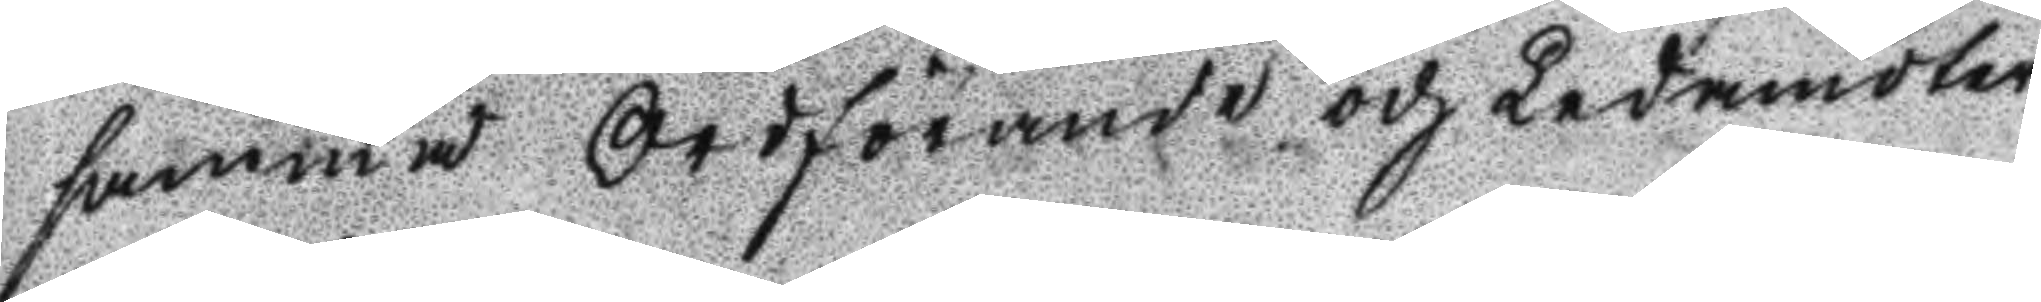samma Ordförande och ledamöter
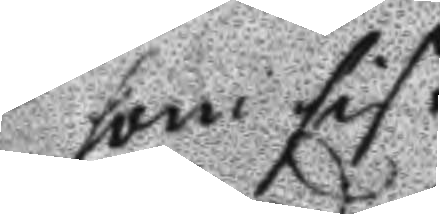som sist.
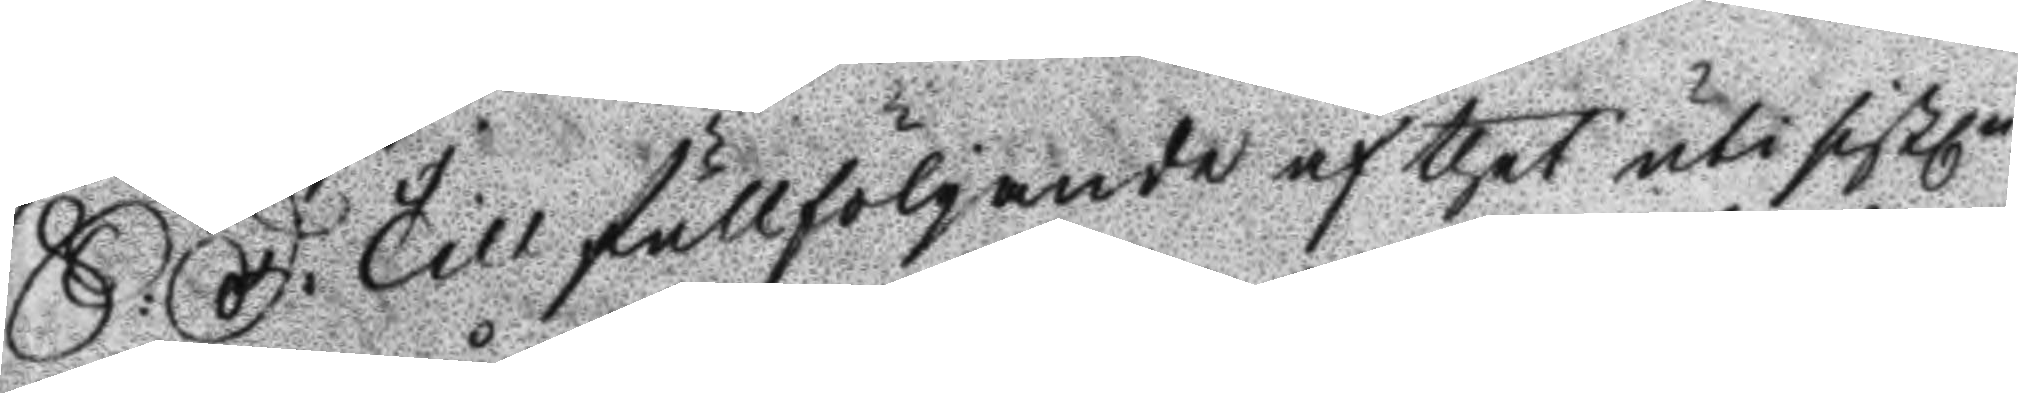S: D: Till fullfölgande af thet uti sistl.n
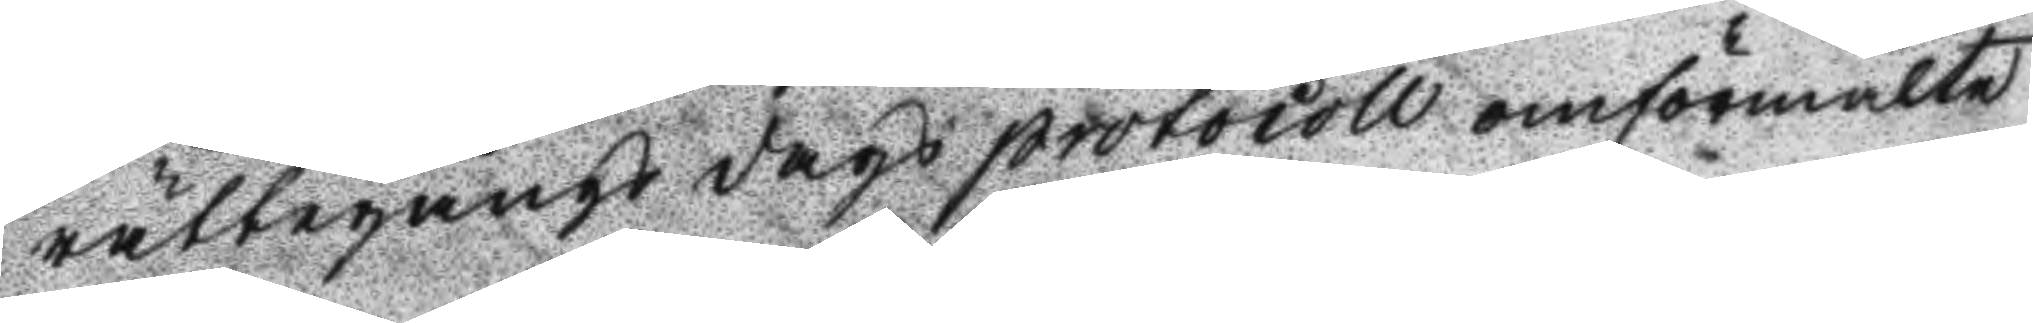rättegångs dags protocoll omförmälte
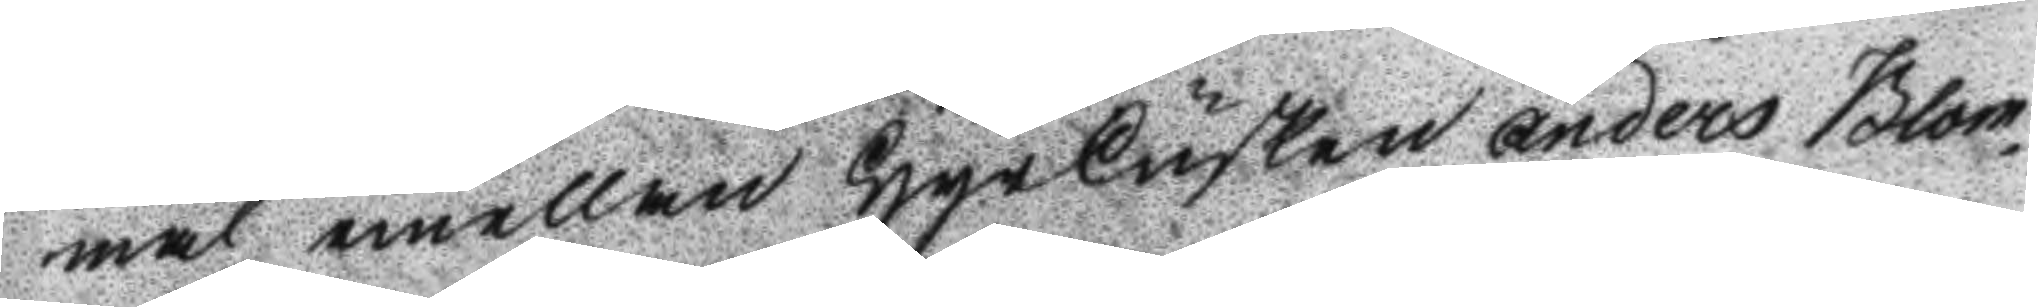mål emellan Hyrkusken Anders Blom¬
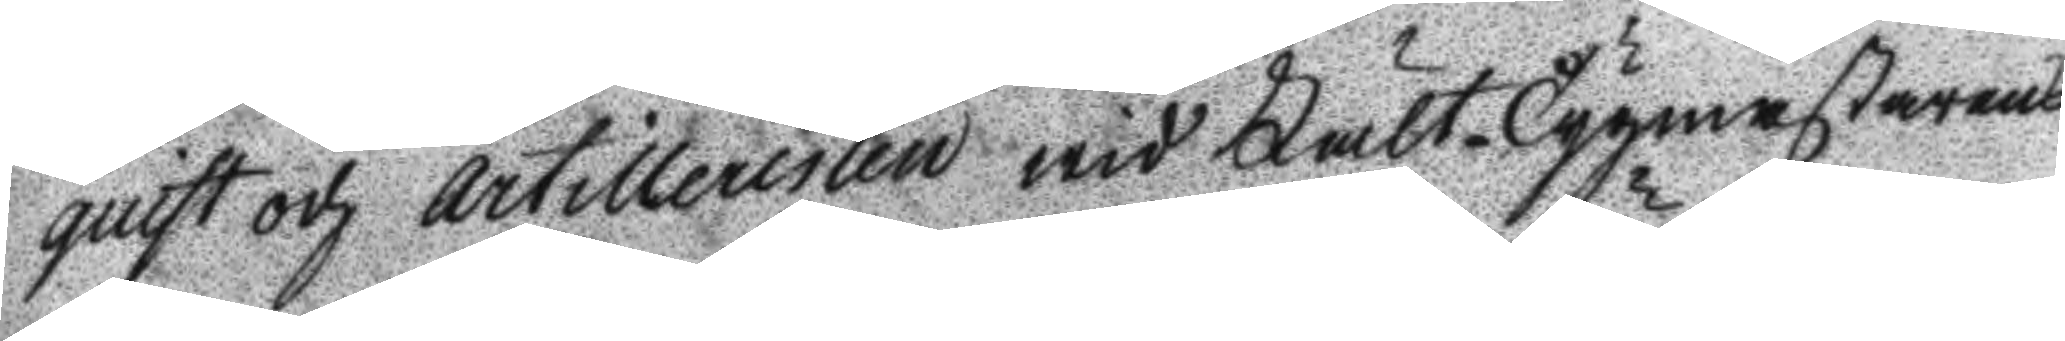quist och artilleristen wid FätlTygmästarens
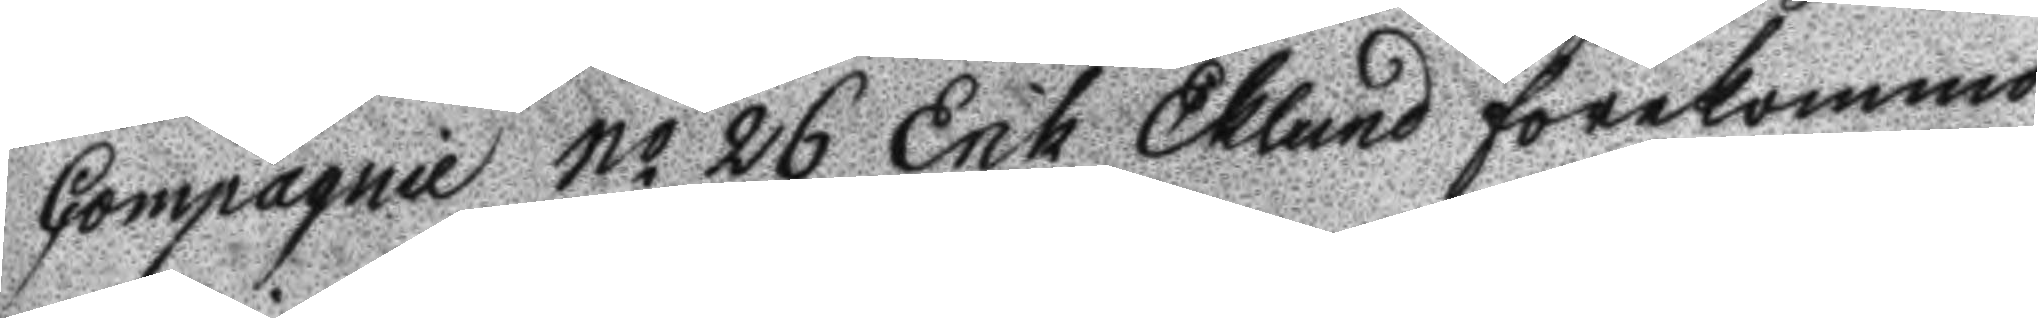Compagnie No 26 Erik Eklund förekommo
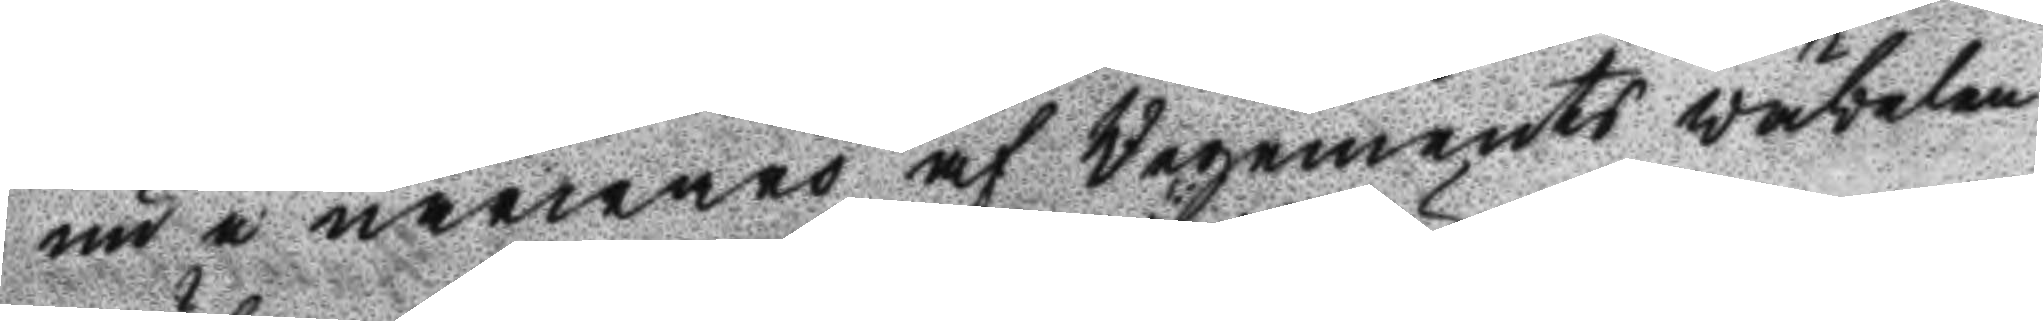ni i närwaro af Regements wäbelen
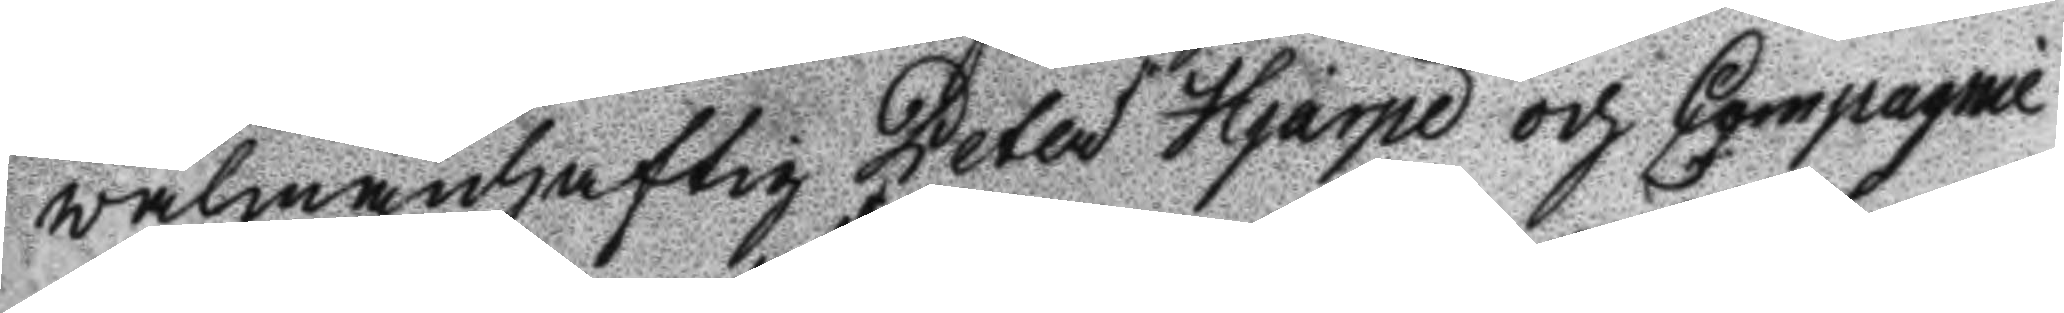wälmanhaftig Peter Hjärpe och Compagnie
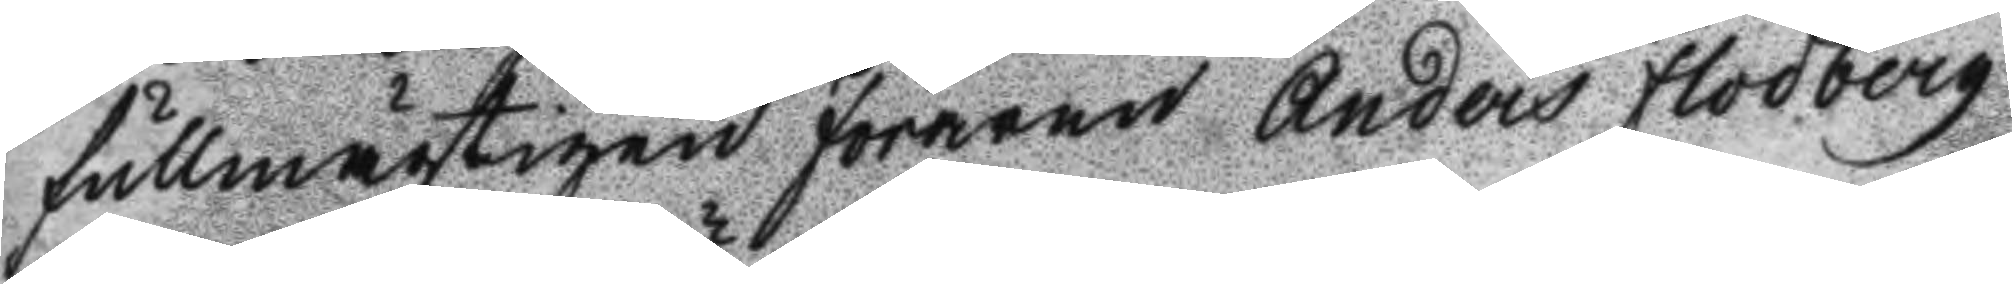fullmägtigen föraren Anders Flodberg
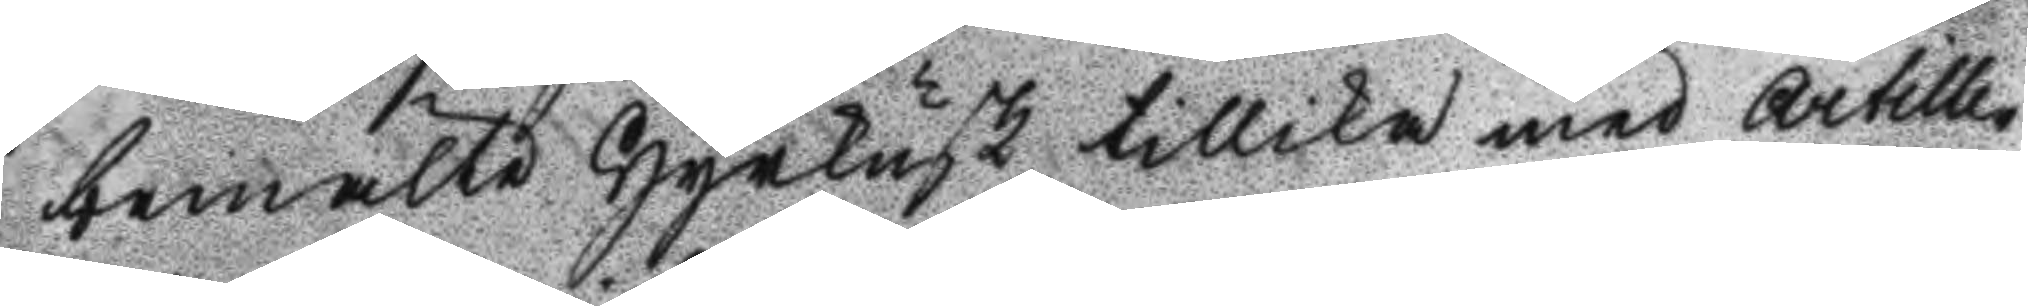bemälte Hyrkusk tillika med Artille¬
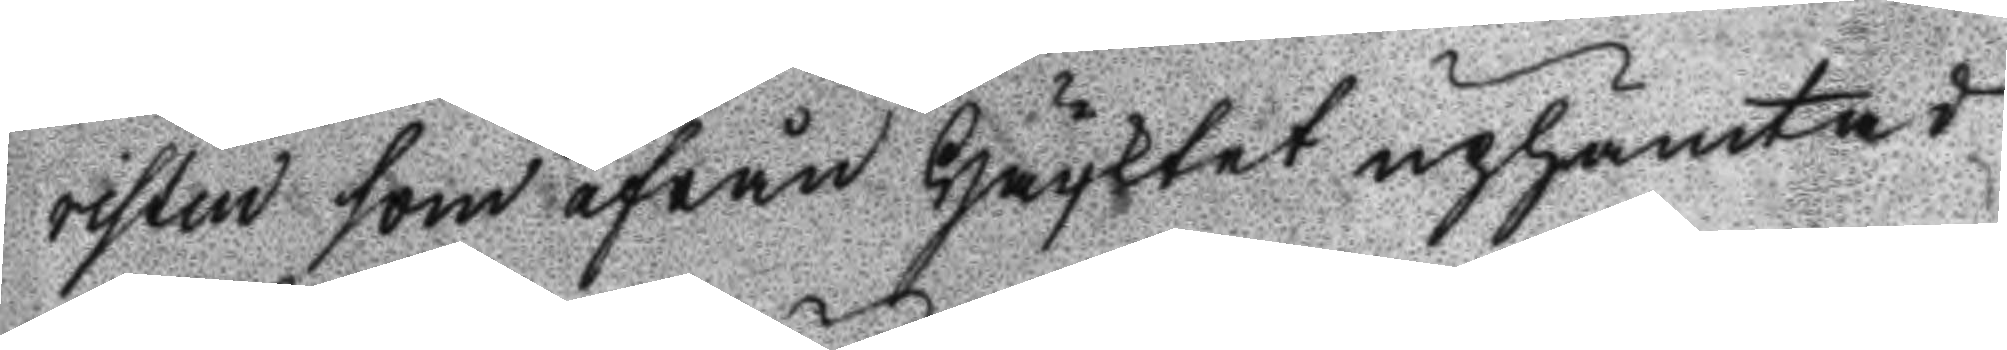risten som ifrån Häktet uphämtad
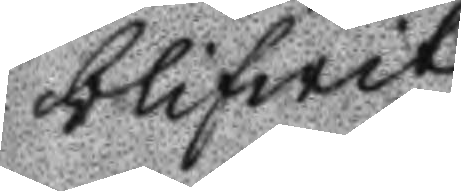blifwit.
